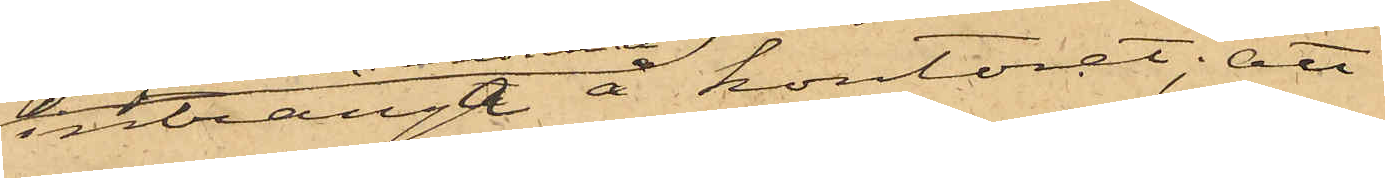intränga å kontoret; att
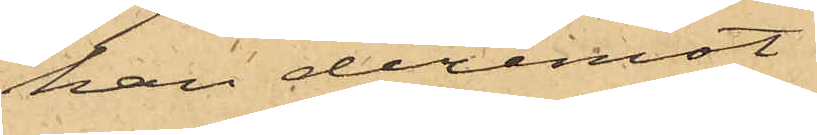han deremot
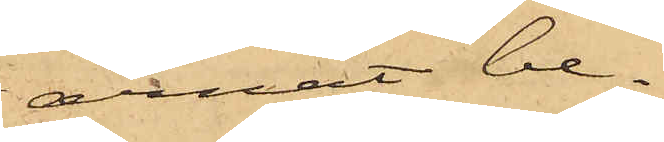ärnat be¬
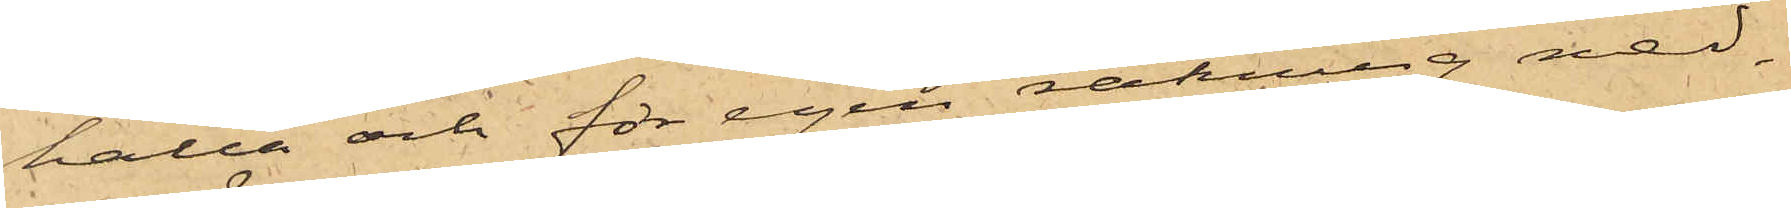hålla och för egen räkning ned¬
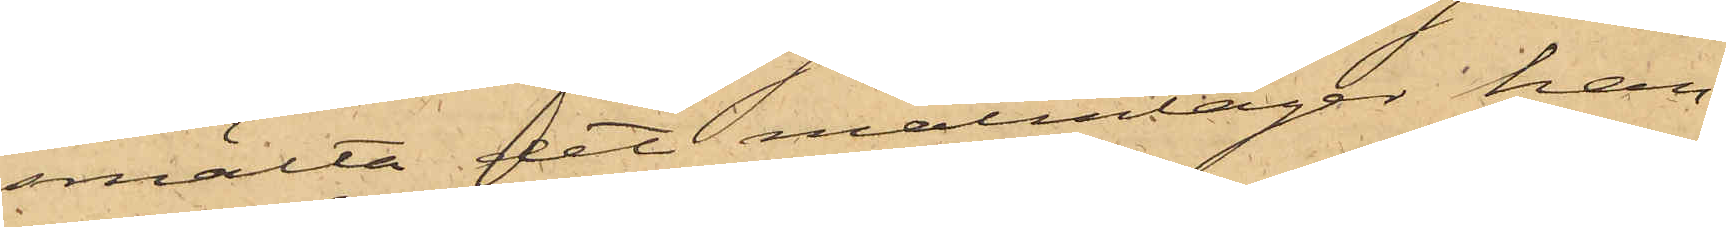smälta det malmlager han,
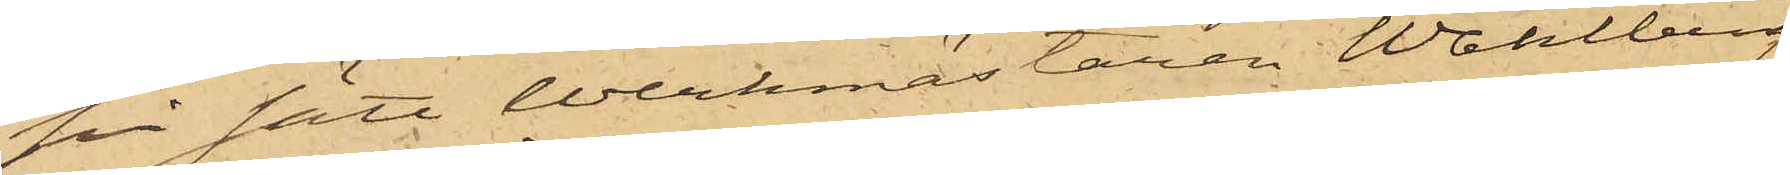på sätt Werkmästaren Wahlberg
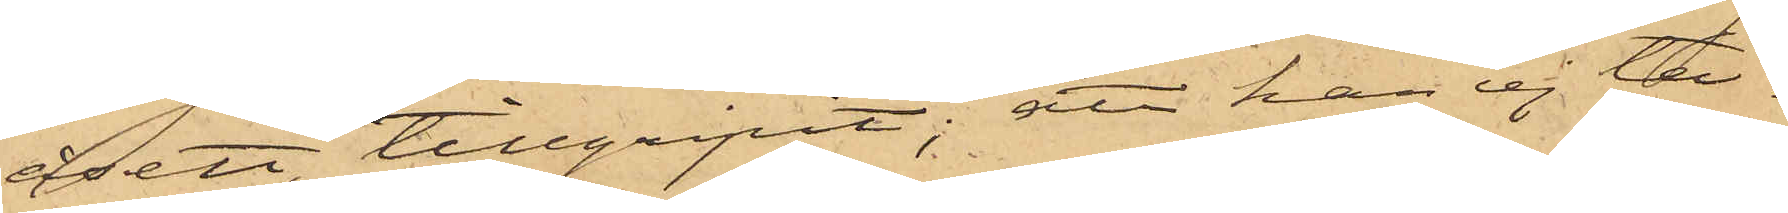åsett, tillgripit; att han ej ta¬
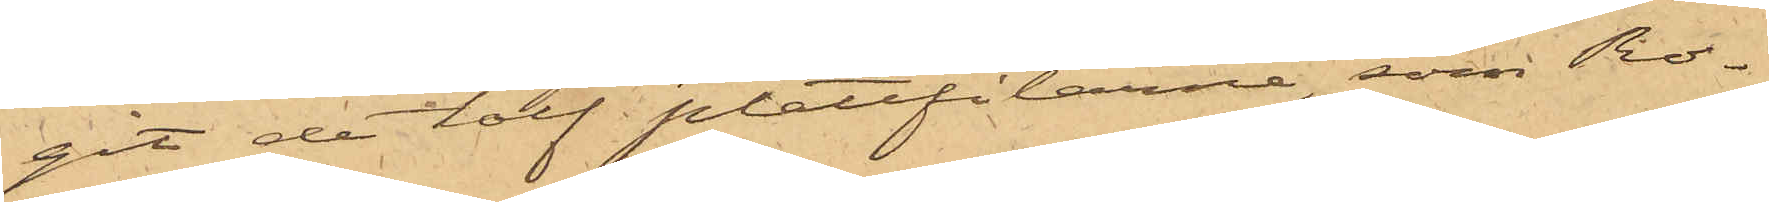git de tolf plattfilarne, som Ro¬
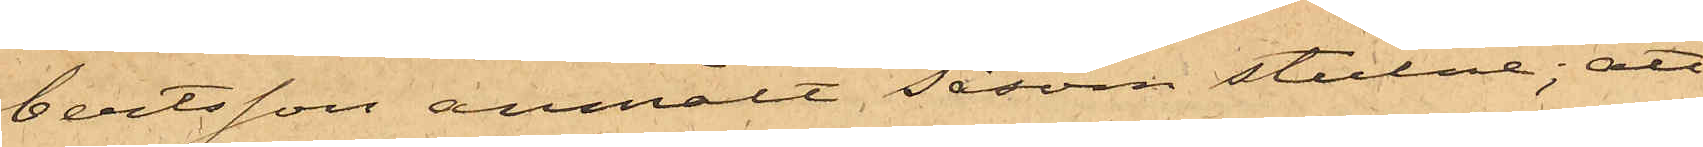bertsson anmält såsom stulne; att
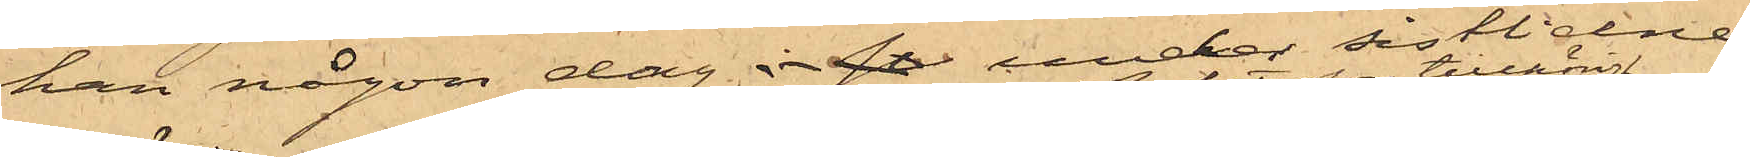han någon dag i si under sistlidne
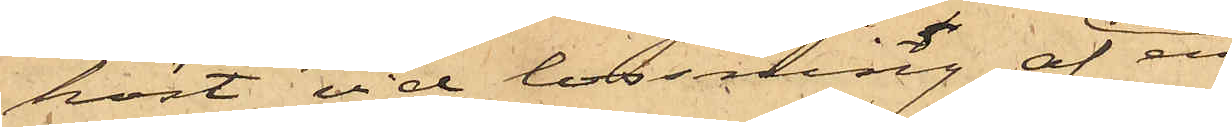höst vid lossning af en
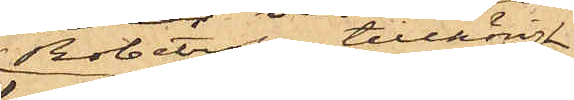Robertson tillhörig
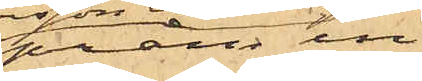pråm in¬
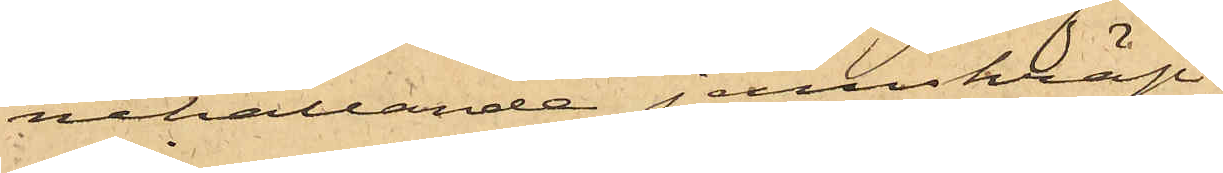nehållande jernskräp
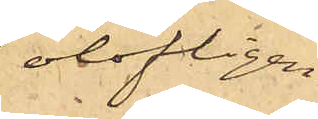olofligen
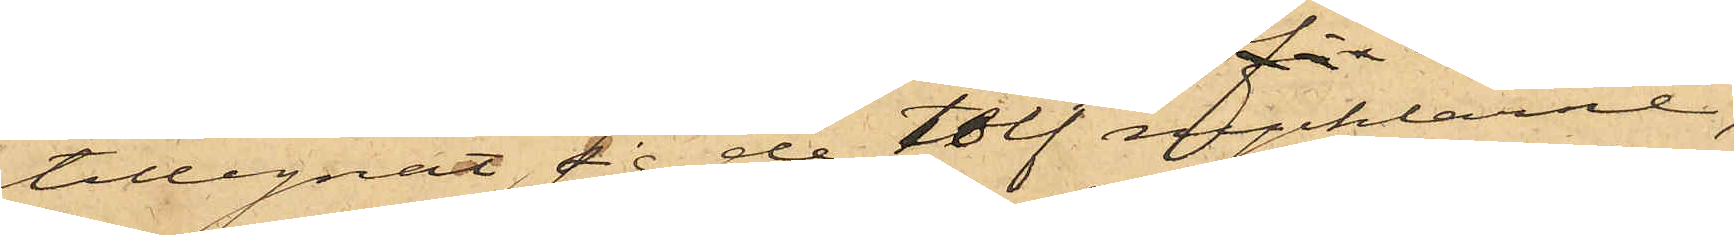tillegnat sig de tolf nycklarne;
